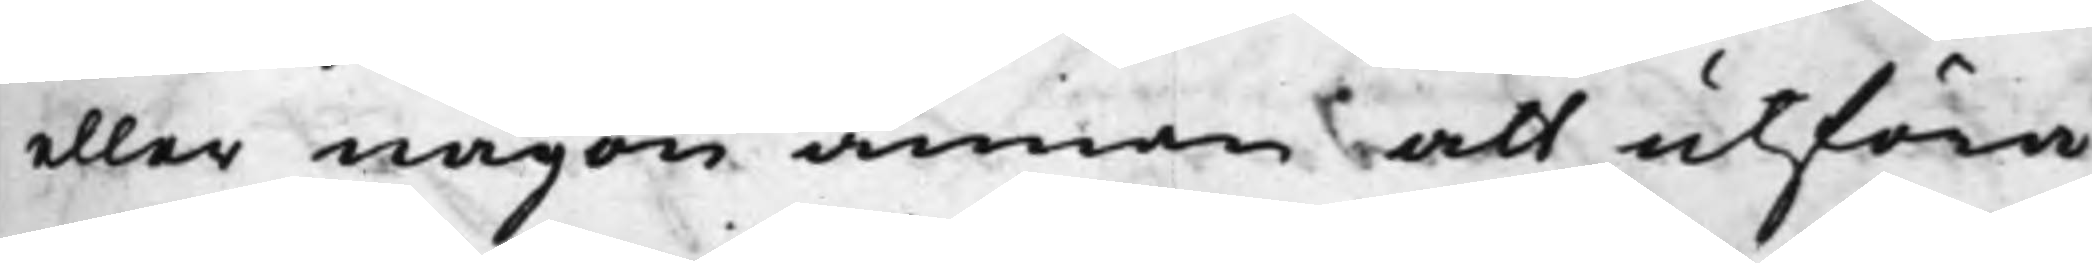eller någon annan att utföra
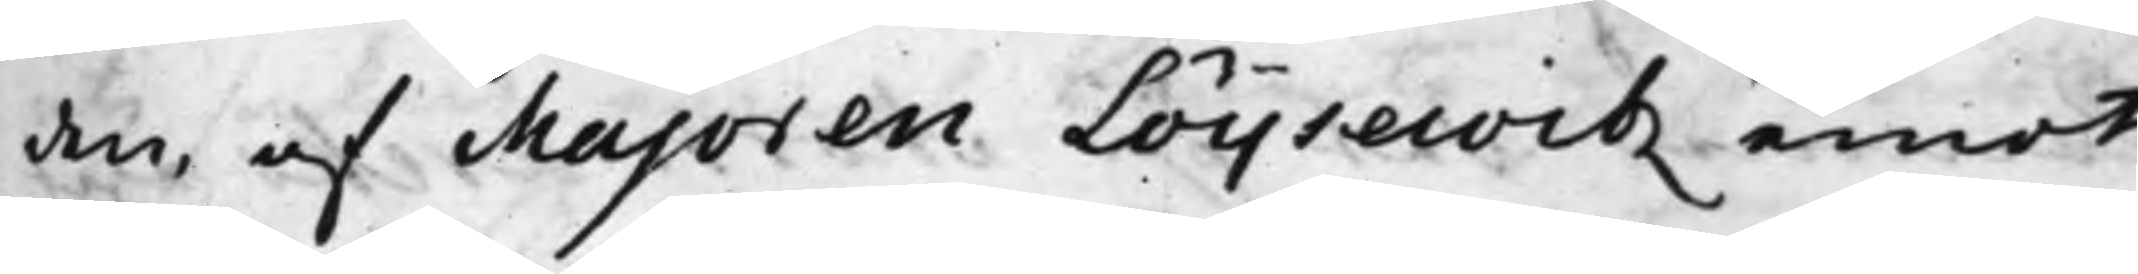den, af Majoren Löijsewitz emot
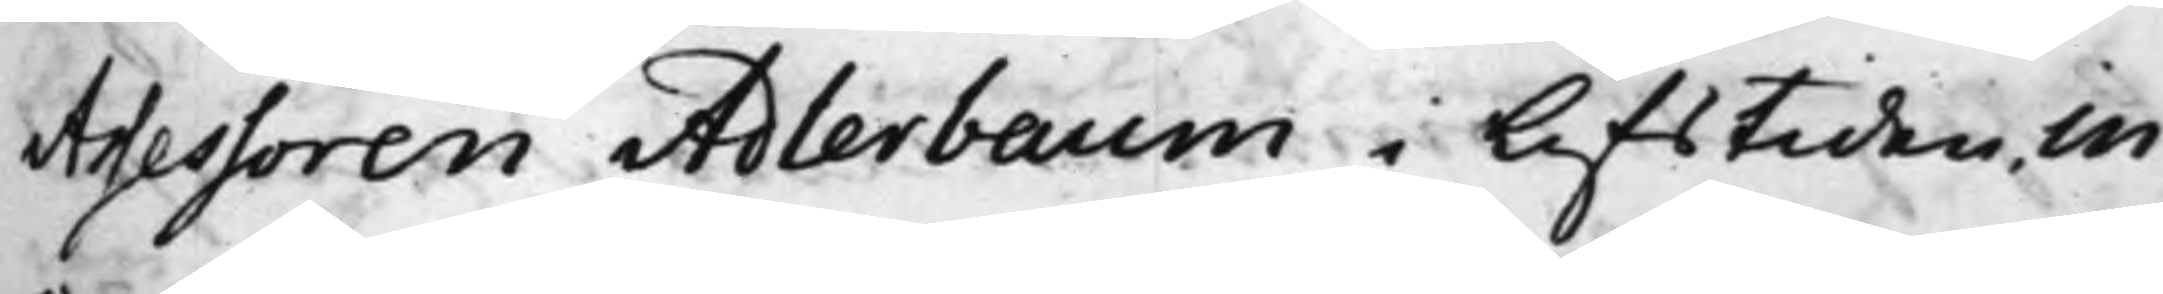Assessoren Adlerbaum i Lifstiden, in¬
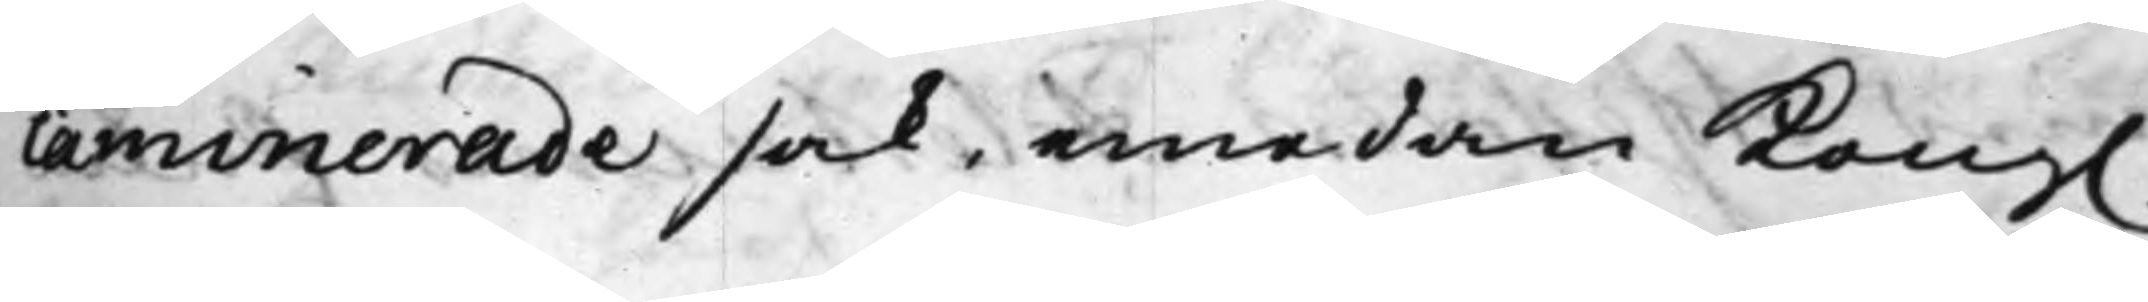caminerade sak, emedan Kong.
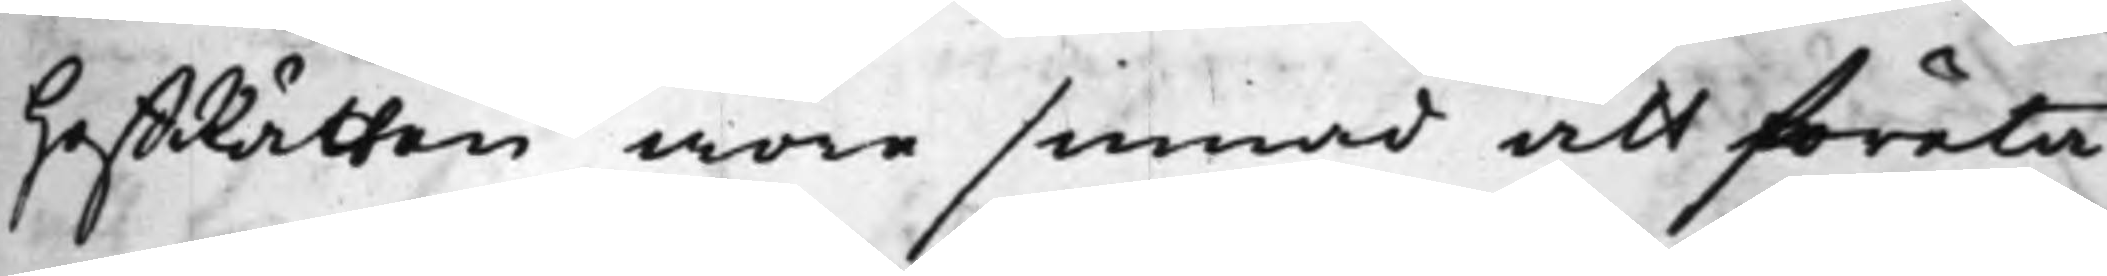HoffRätten wore sinnad att företa¬
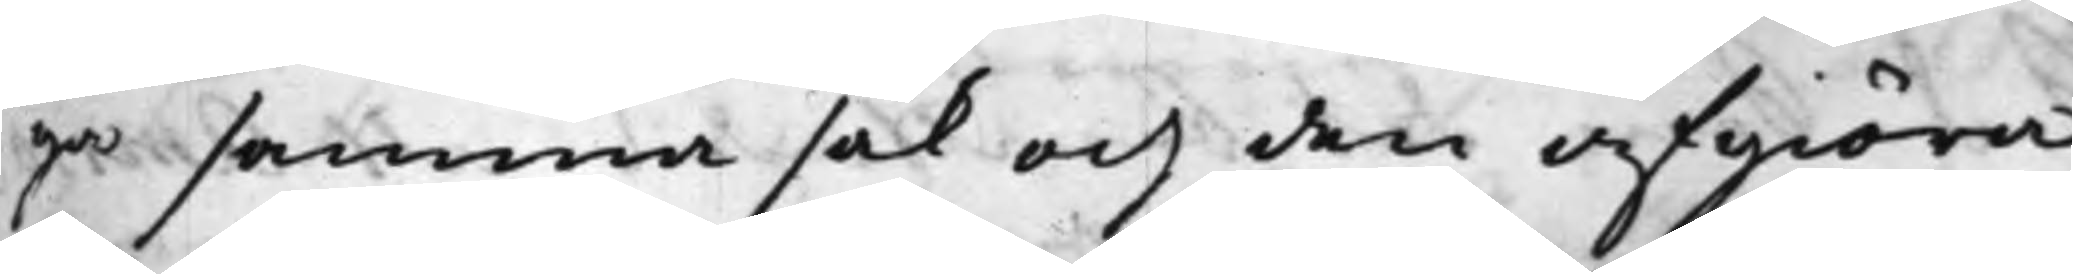ga samma sak och den afgiöra;
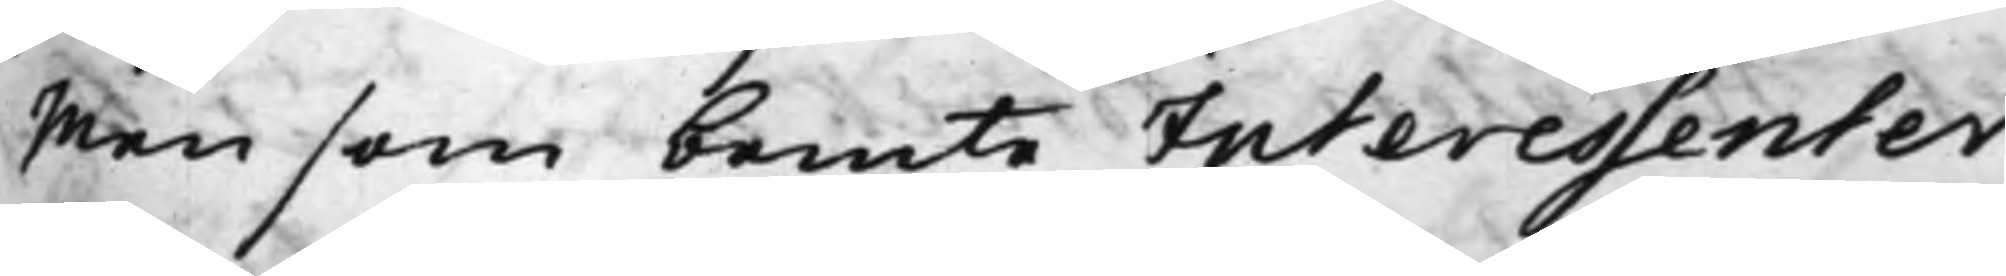Men som bemte Interessenter
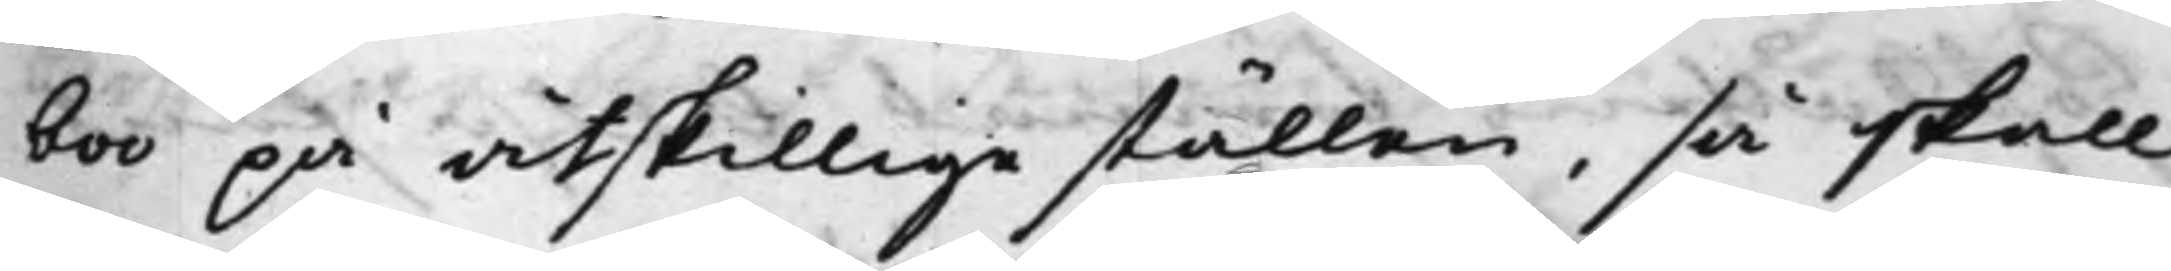boo på åtskillige ställen, så skall
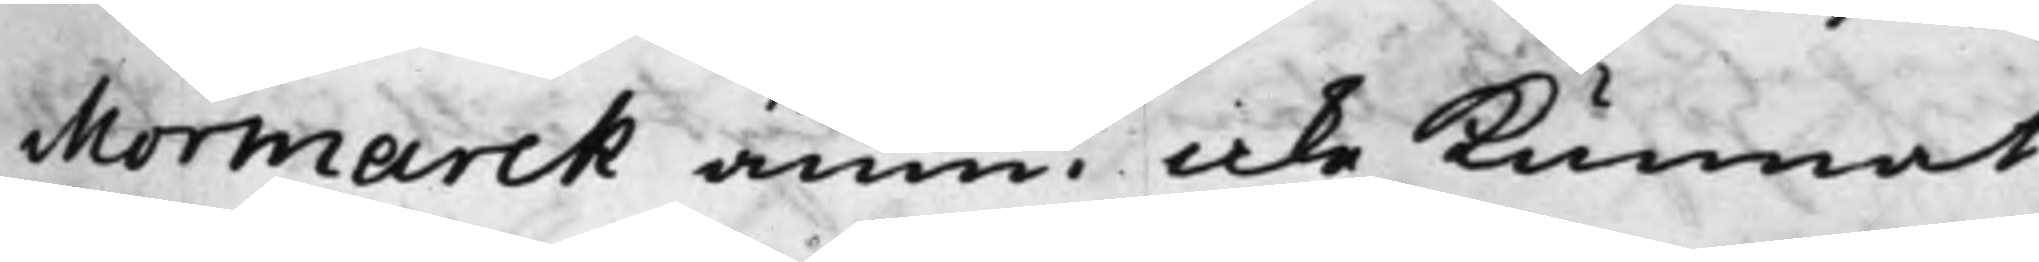Mormarck ännu icke kunnat
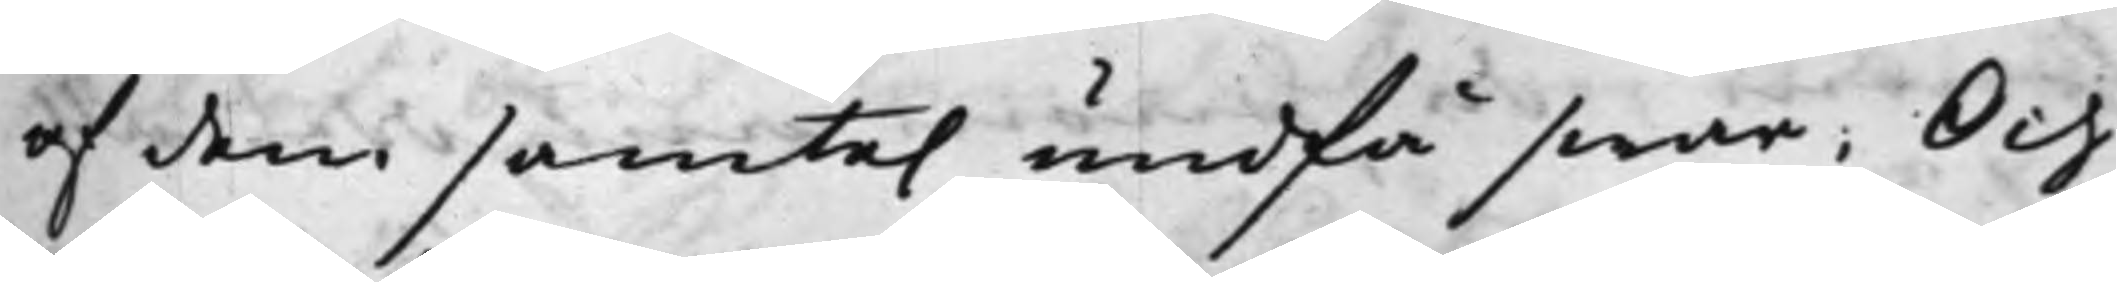af dem samte. undfå swar; Och
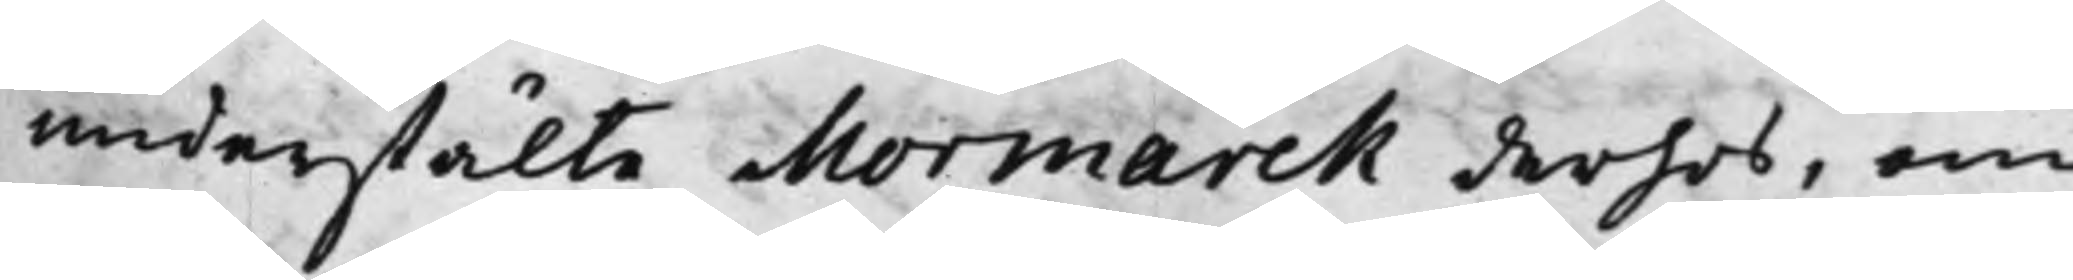understälte Mormarck derhos, om
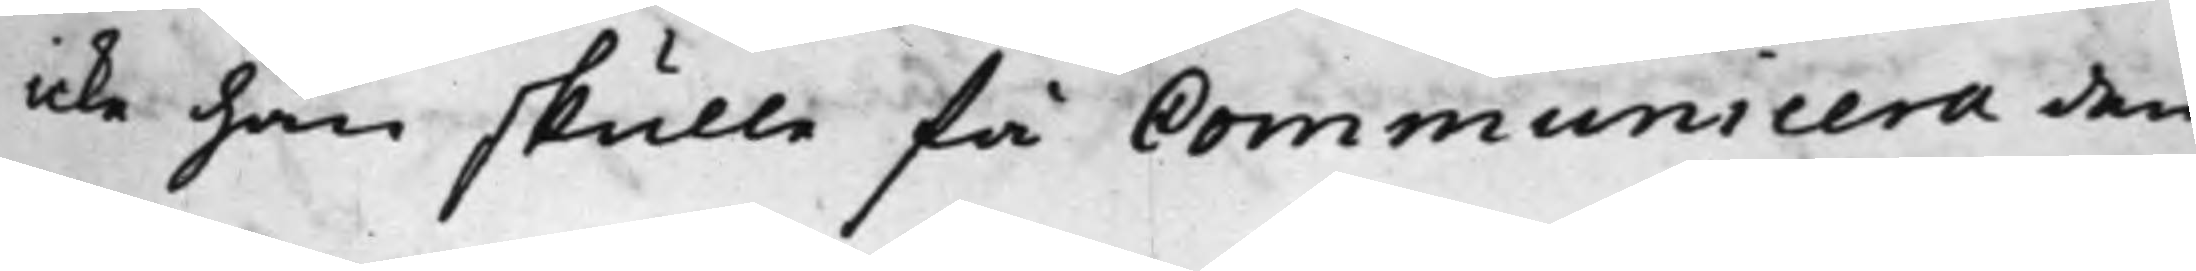icke han skulle få Communicera den¬
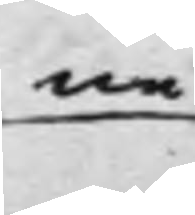ne
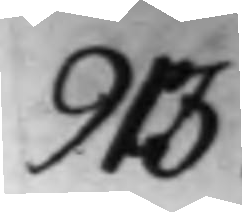913.
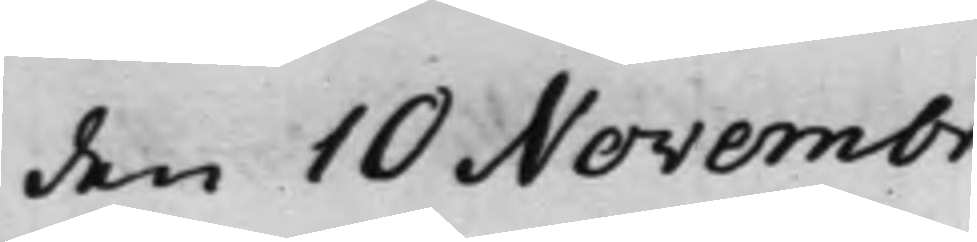den 10 Novembr.
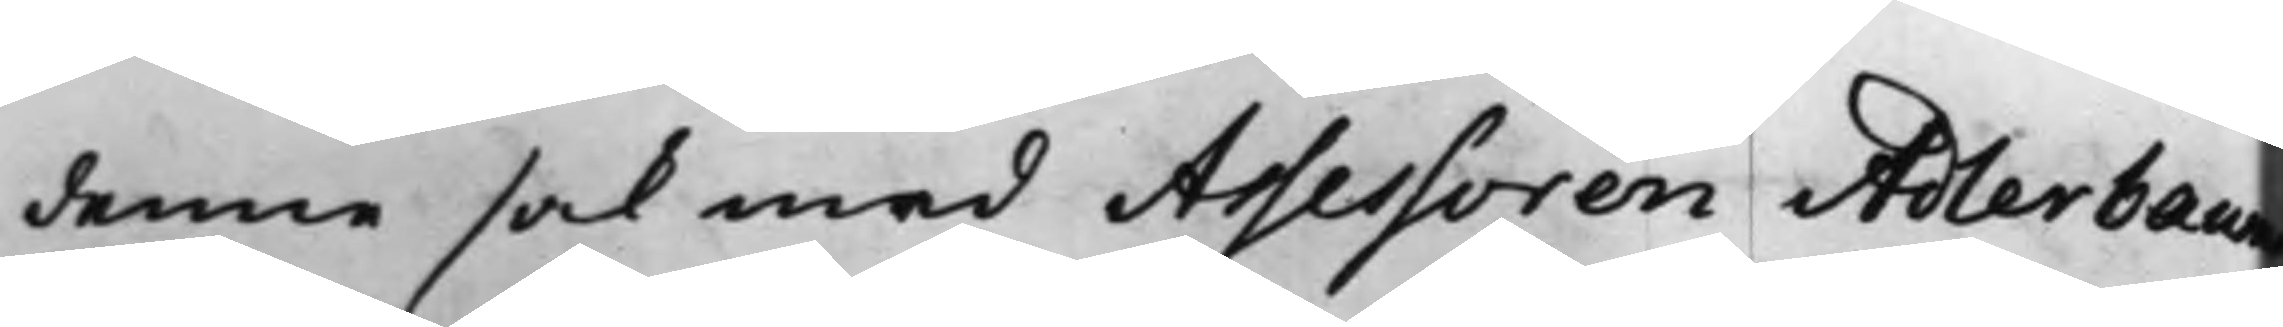denne sak med Assessoren Adlerbaums
